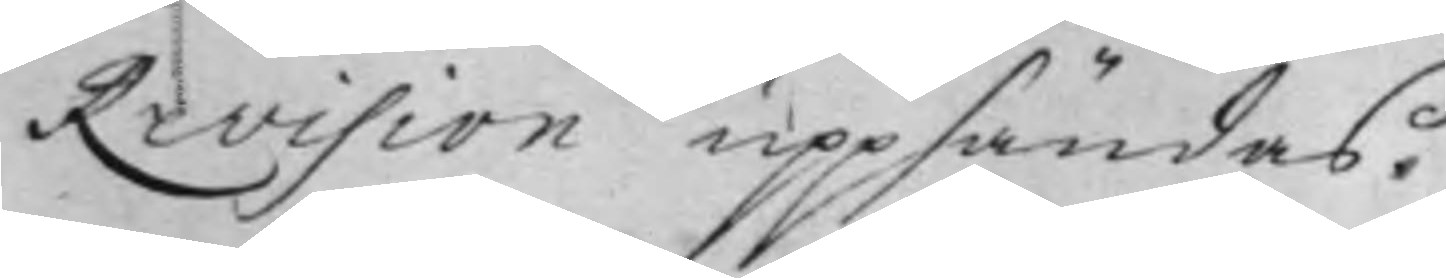Revision uppsändas.
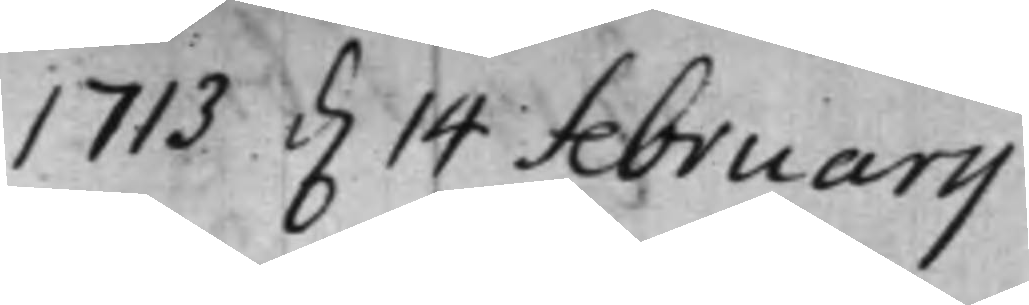1713 d. 14 februarij
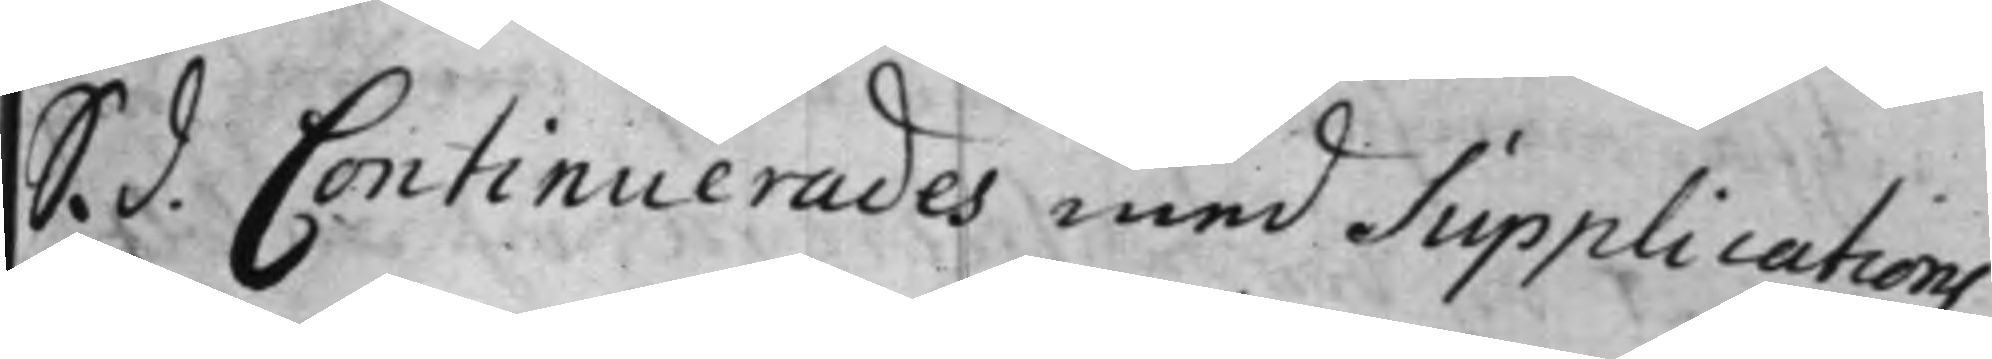S. d. Continuerades med Supplications
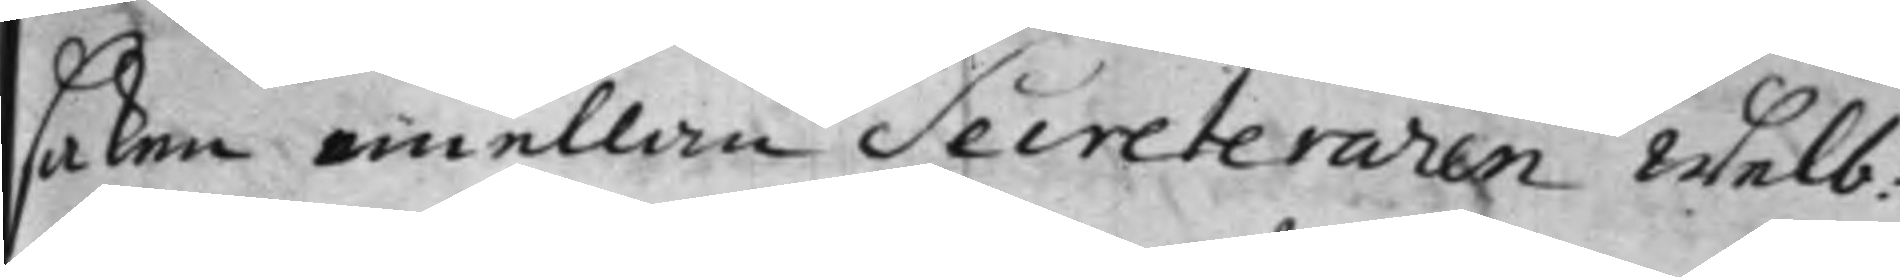saken emellan Secreteraren Welb:
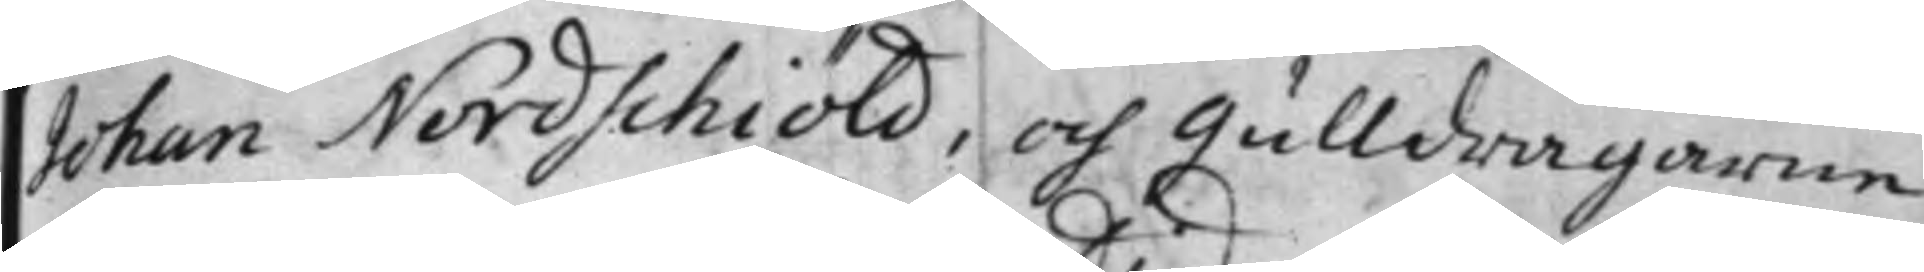Johan Nordschiöld, och gulldragaren
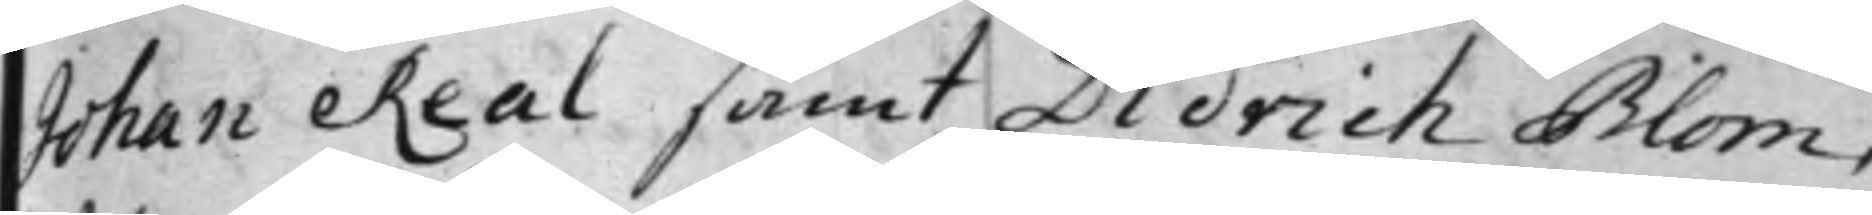Johan Real samt Didrich Blom,
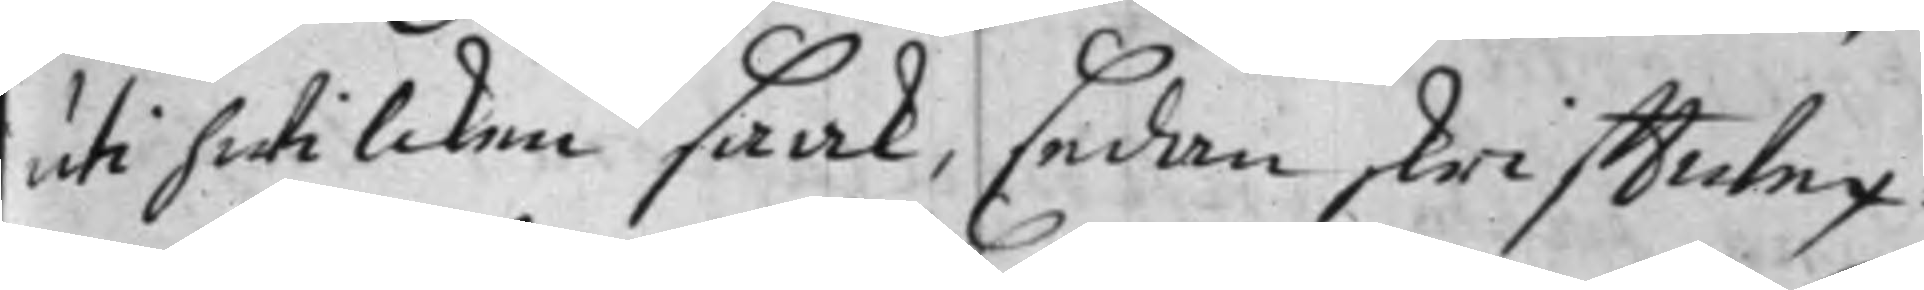uti hwilcken saak, sedan skrifftwex¬
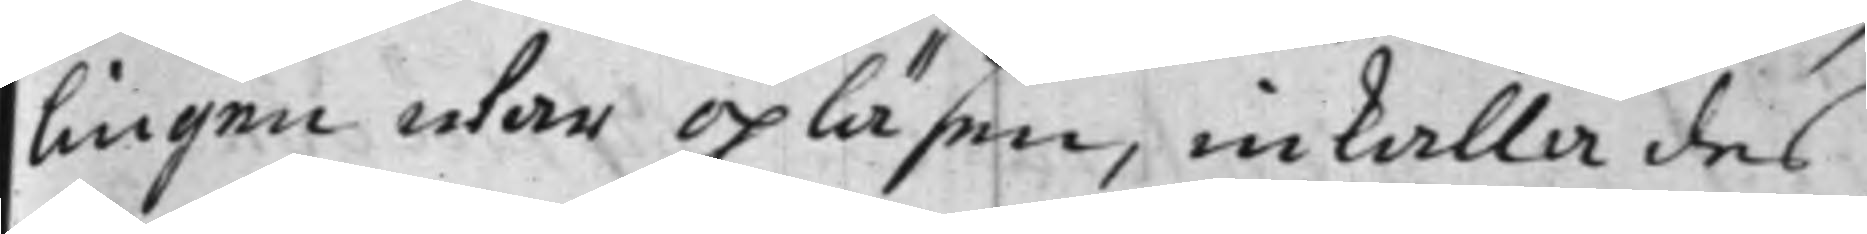lingen war opläsen, inkalla des
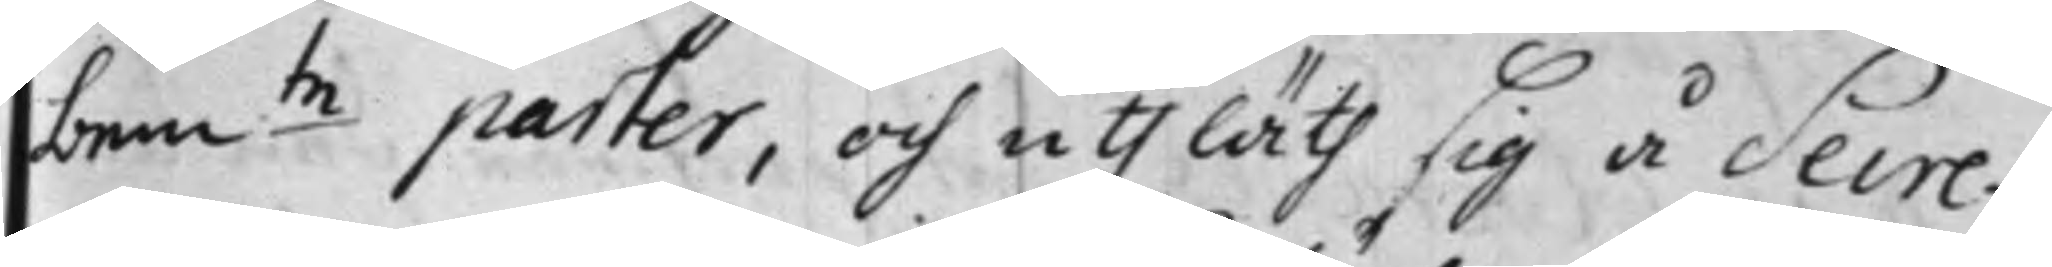bemte parter, och uthläth sig å Secre¬
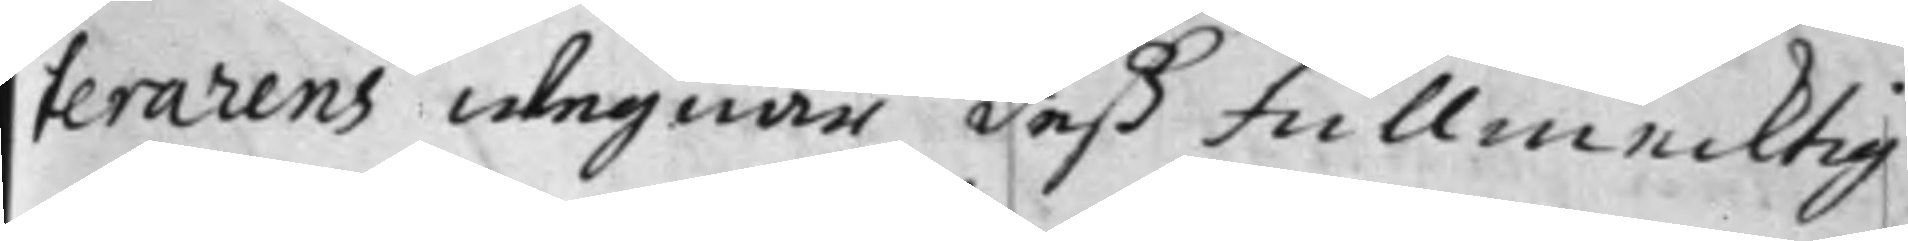terarens wegnar deß fullmecktig
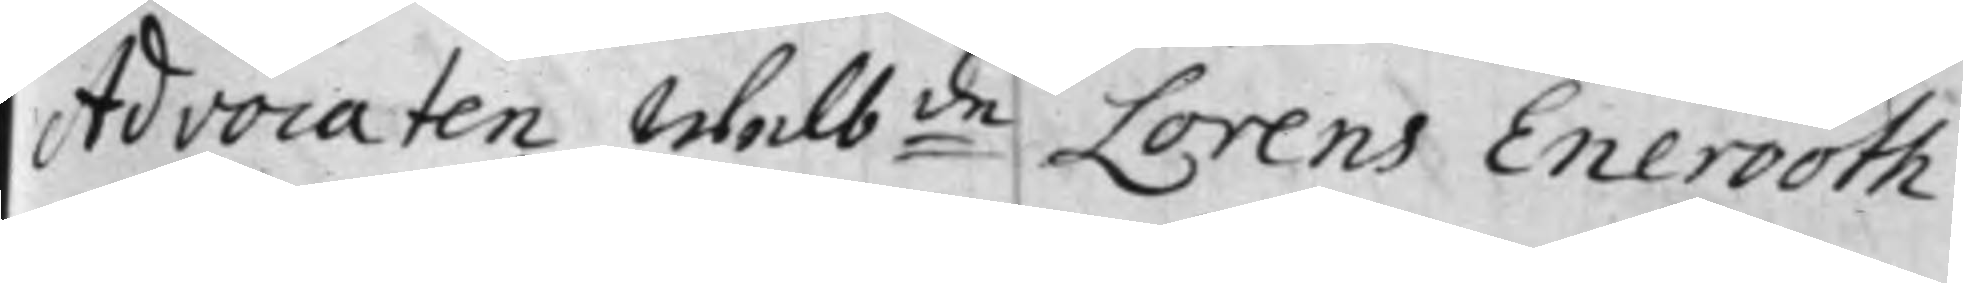Advocaten Welbde Lorens Enerooth
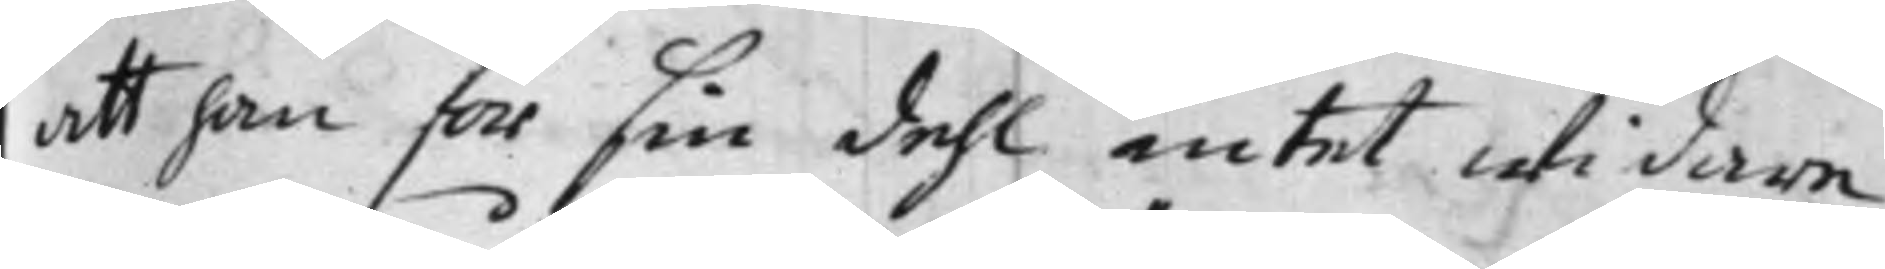att han för sin dehl intet uti dare
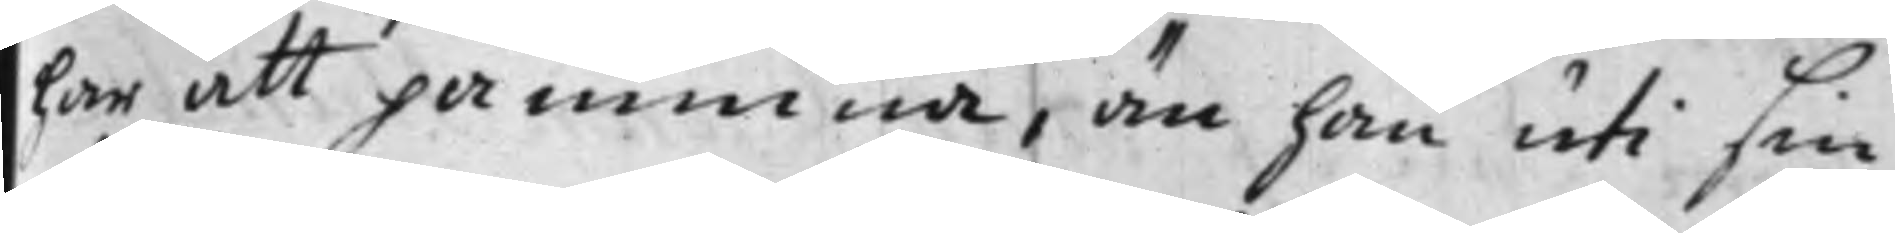har att påminna, än han uti sin
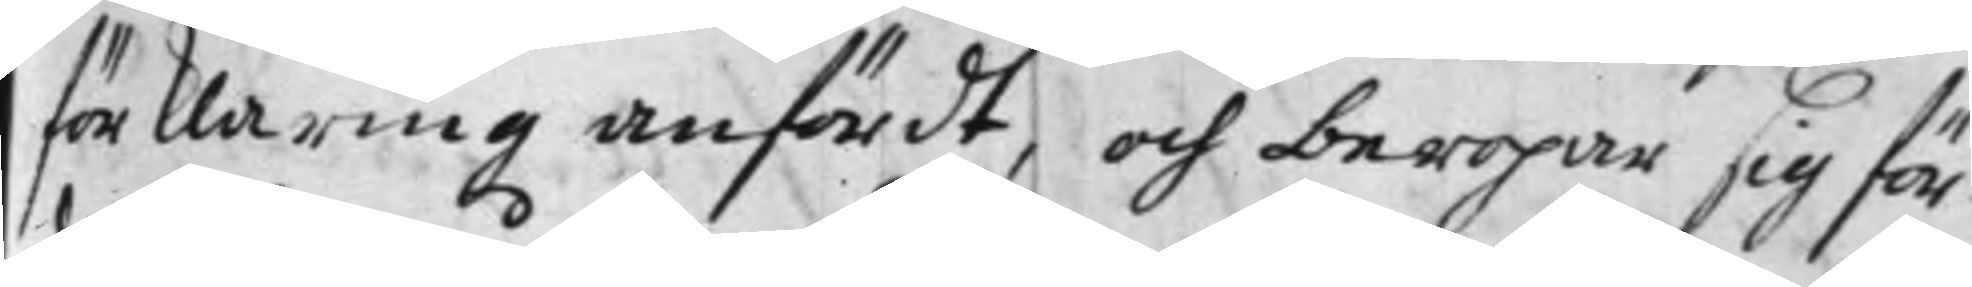förklaring anfördt, och beropar sig för¬
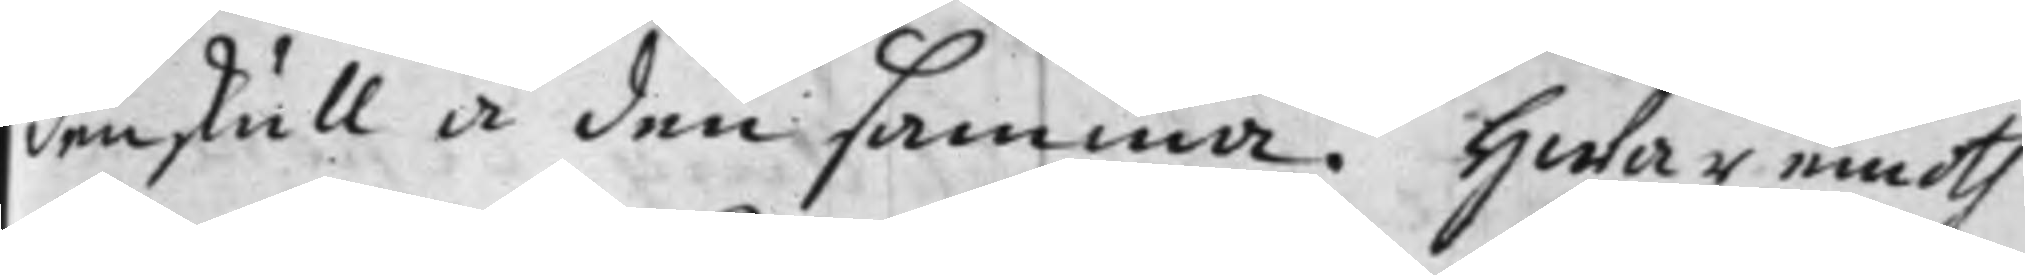den skull å den samma. Hwar emoth
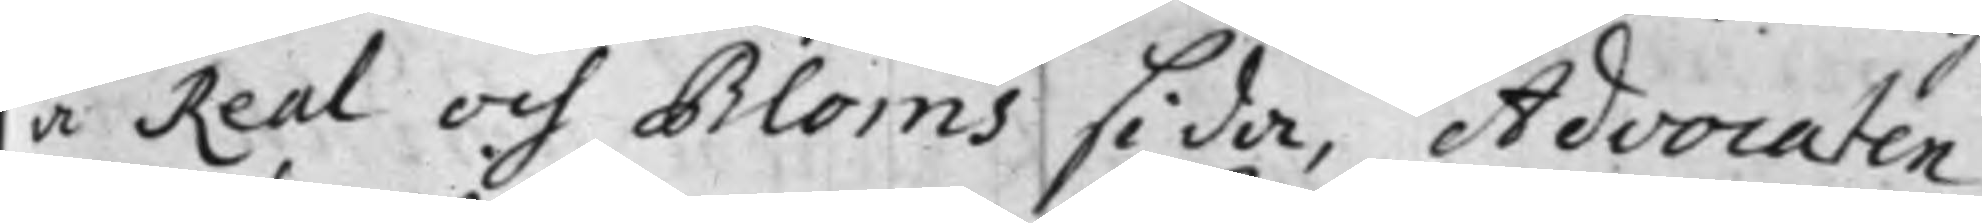å Real och Bloms sida, Advocaten
